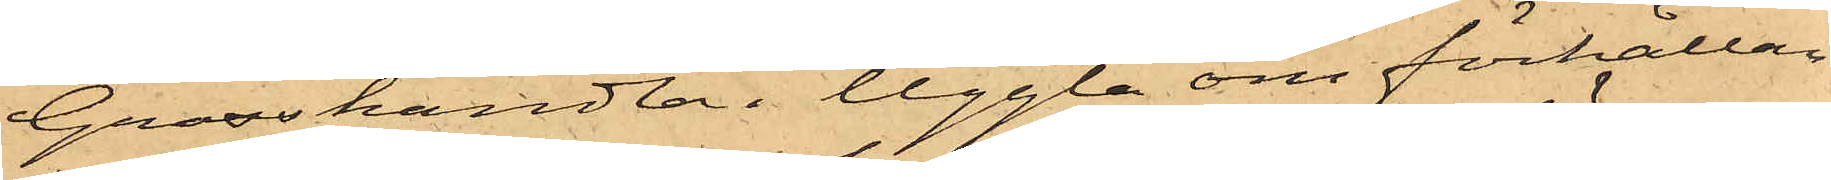Grosshandlan Uggla om förhållan¬
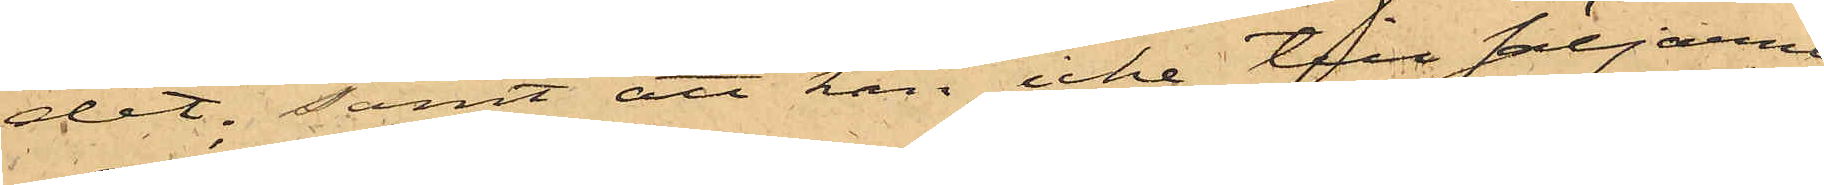det; samt att han icke till säljarne
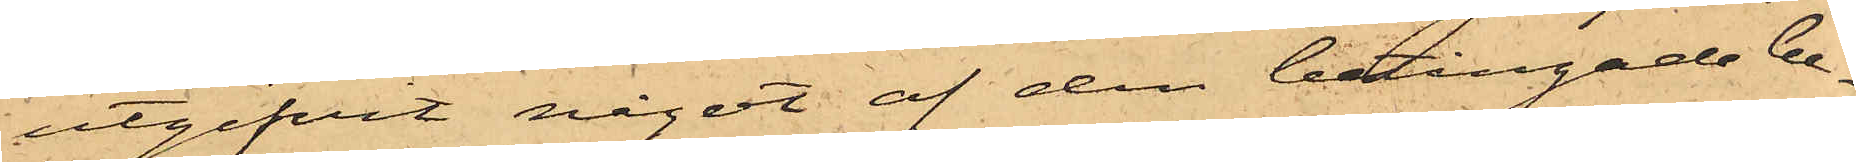utgifvit något af den betingade be¬
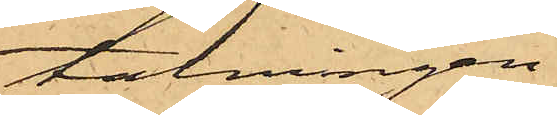talningen.
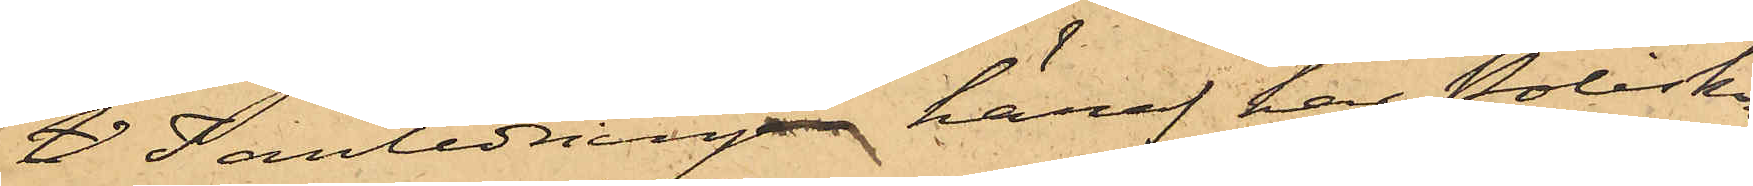V I anledningen häraf har Poliskon¬
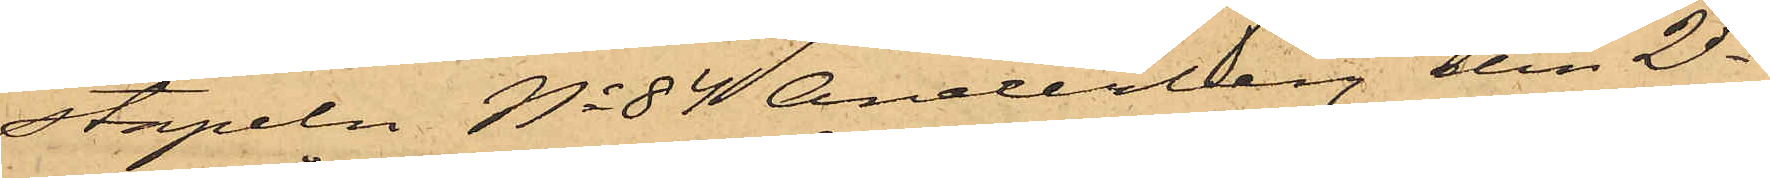stapeln No 84 Anderberg den 2 ds
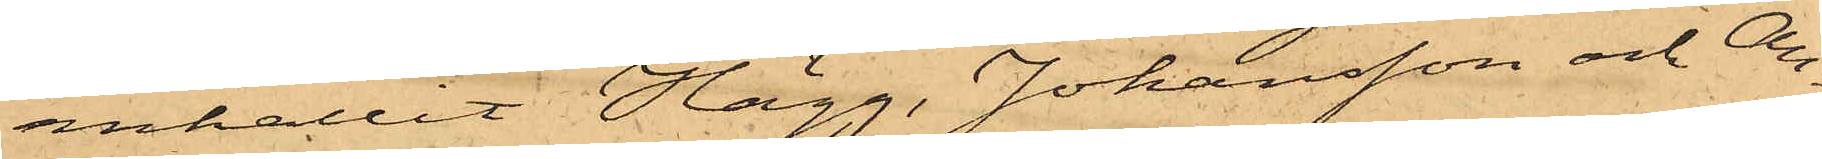anhållit Hägg, Johansson och An¬
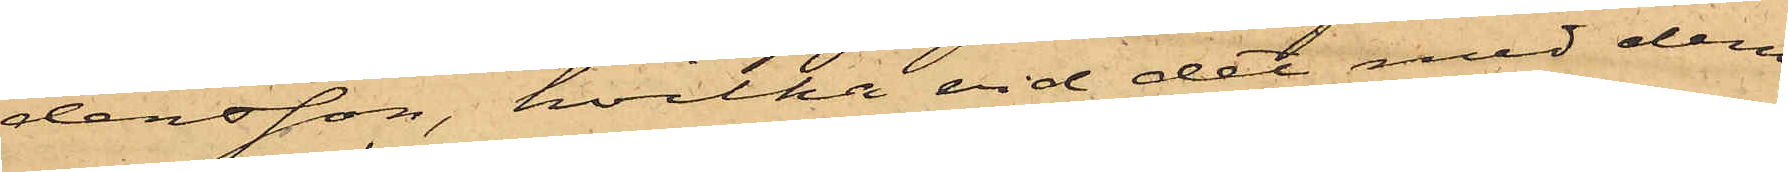dersson, hvilka vid det med dem
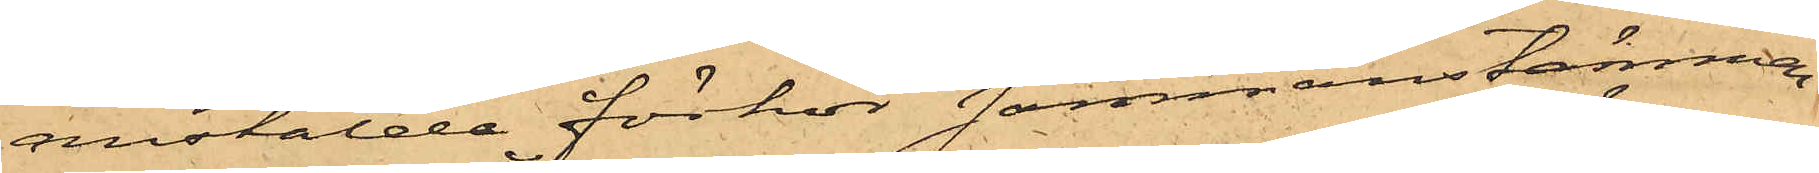anstälde förhör sammanstämman¬
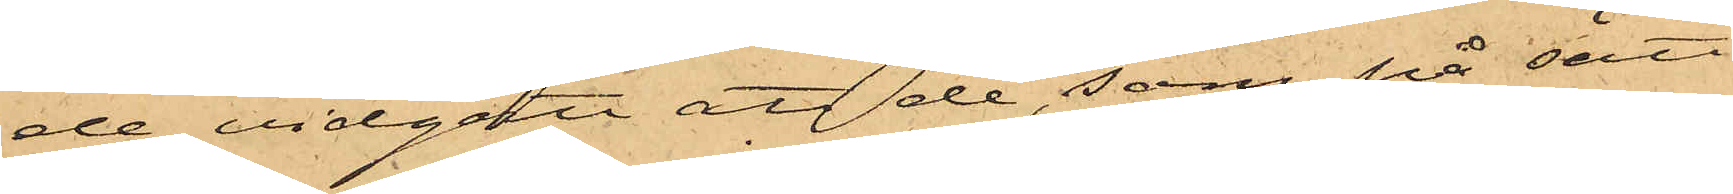de vidgått att de, som på sätt
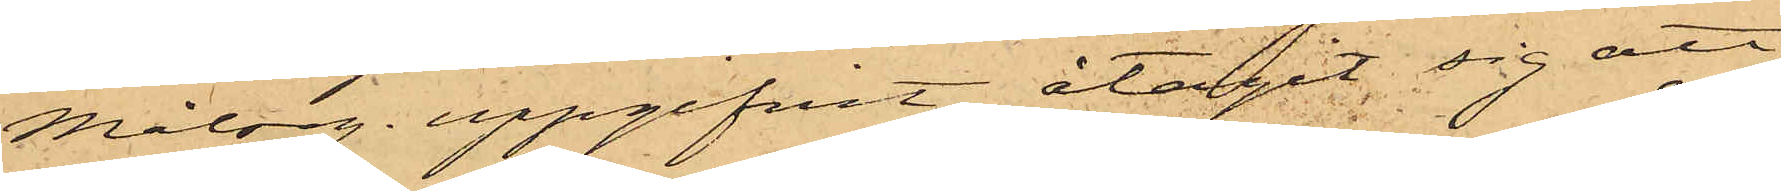Målseg. uppgifvit, åtagit sig att
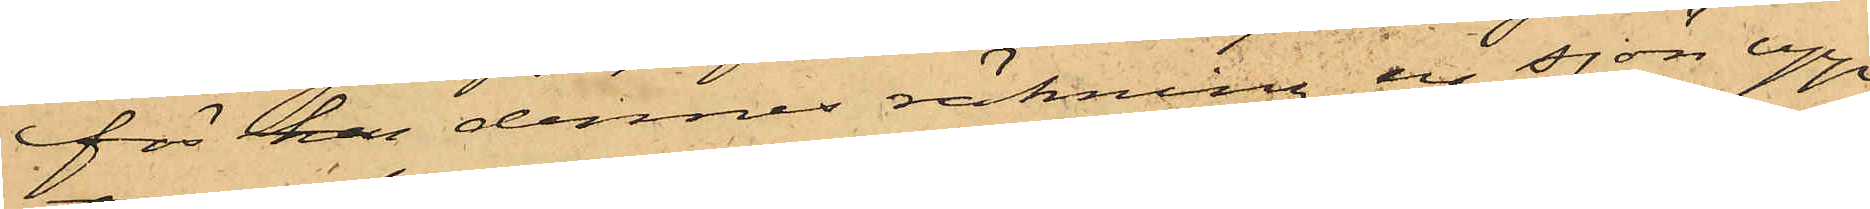för han dennes räkning ur sjön upp¬
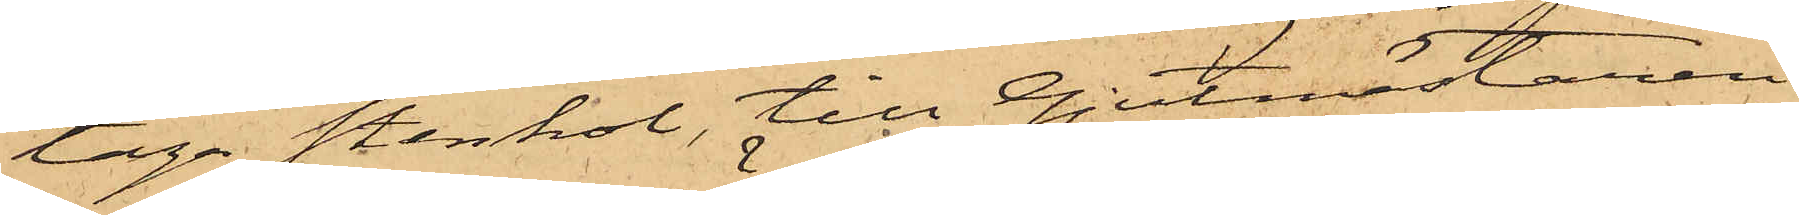taga stenkol, till Gjutmästaren
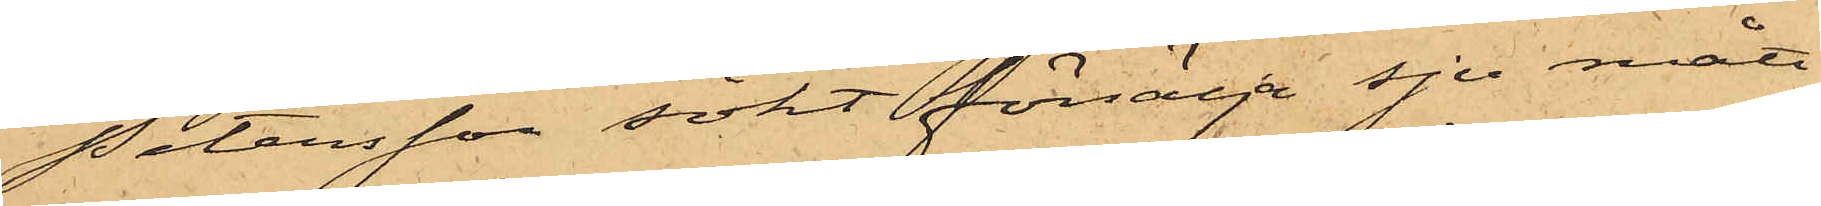Petersson sökt försälja sju mått
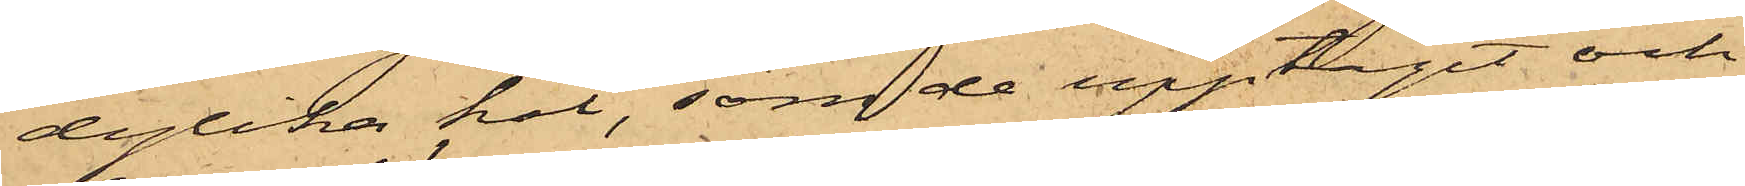dylika kol, som de upptagit och
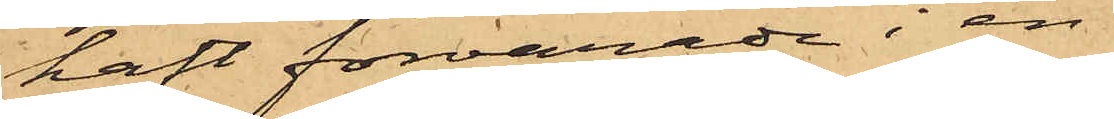haft förvarade i en
